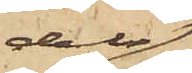dels
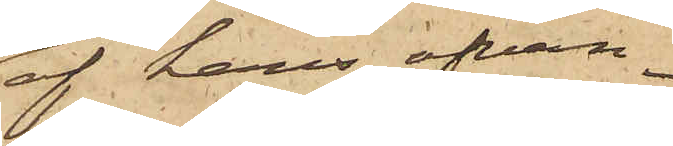af hans ofvan¬
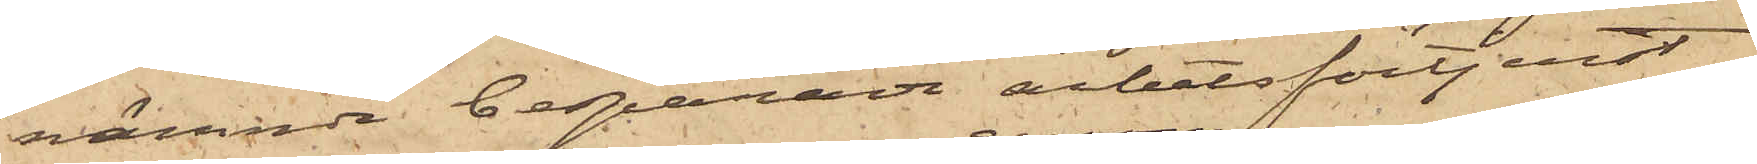nämnde besparade arbetsförtjenst
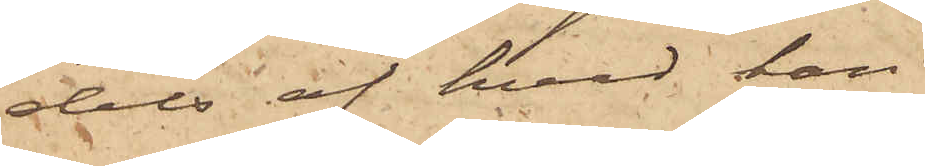dels af hvad han
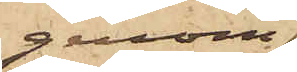genom
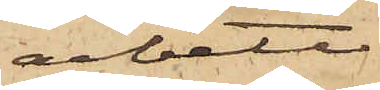arbete
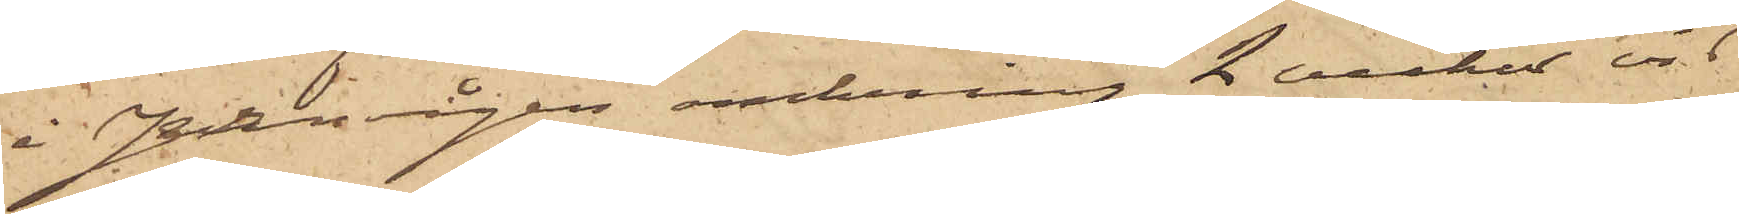i Jernvågen omkring 2 veckor vid
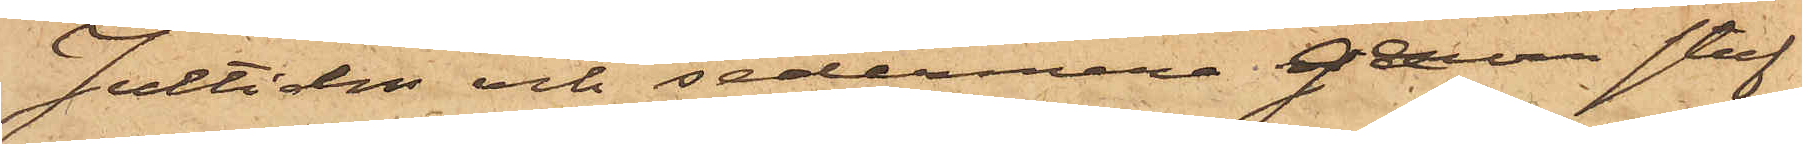Jultiden och sedermera genom stuf¬
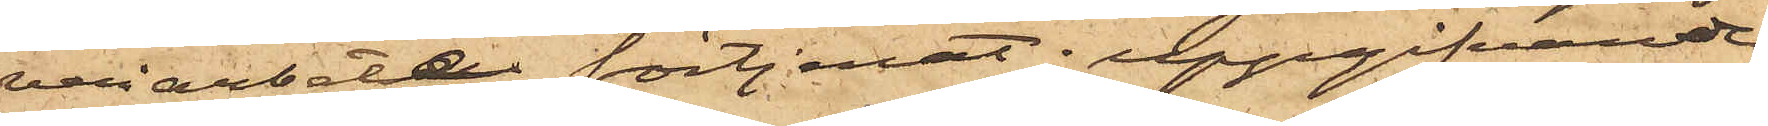veriarbete förtjenat; uppgifvande
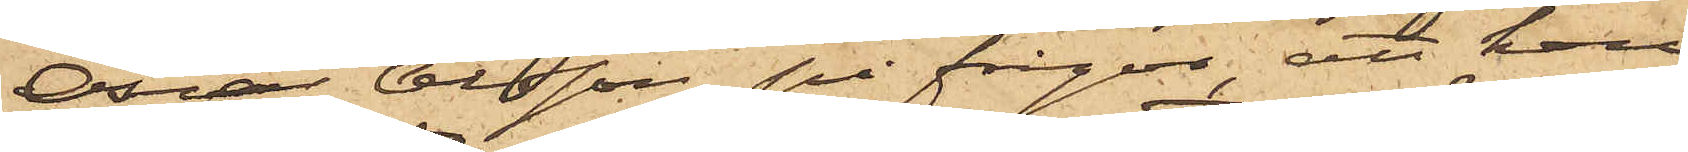Oscar Olsson på fråga, att han
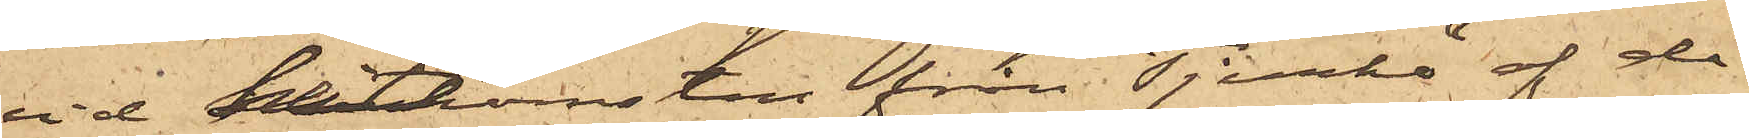vid hitkomsten från Tjurkö af då
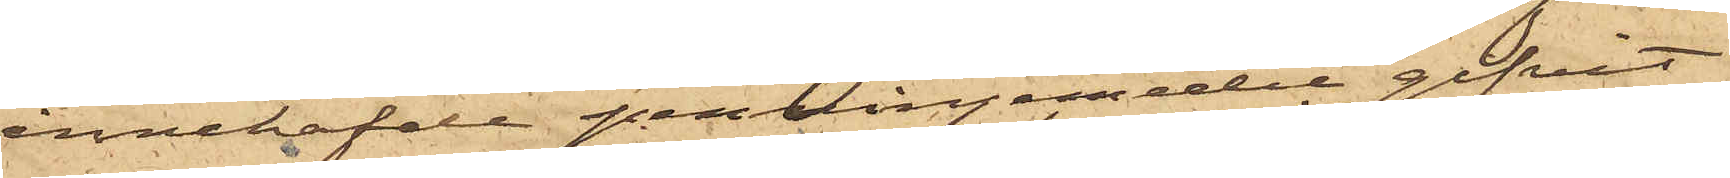innehafde penningmedel gifvit
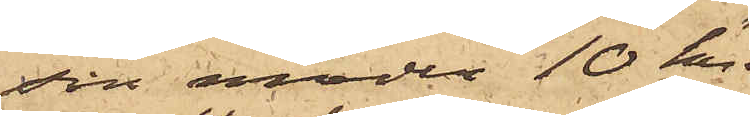sin moder 10 kr.
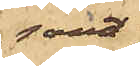samt
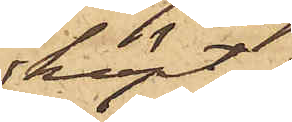köpt
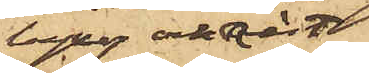byxor och väst
